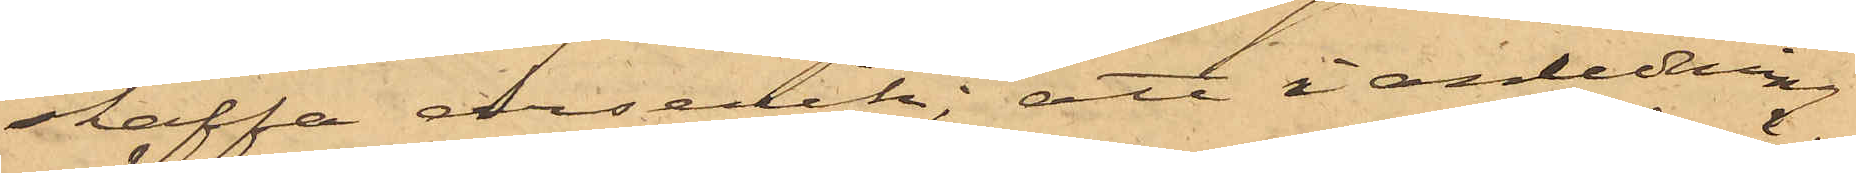skaffa arsenik; att i anledning
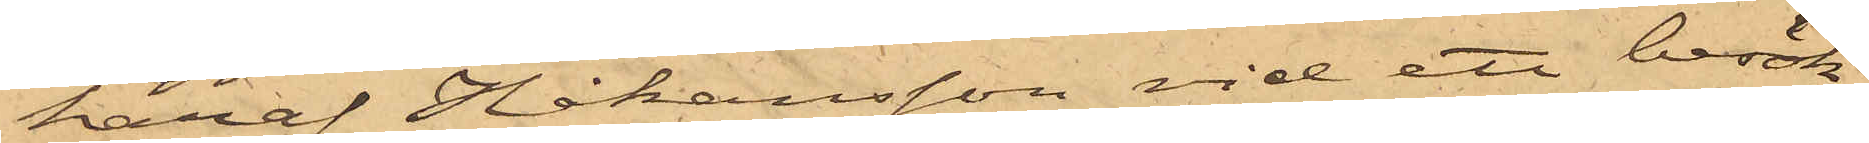häraf Håkansson vid ett besök
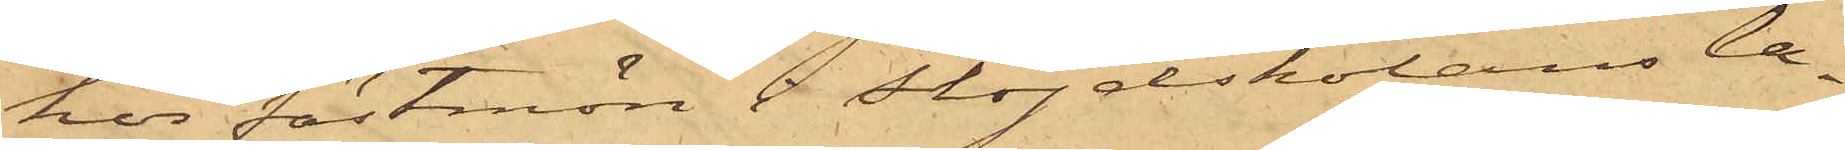hos fästmön i Slöjdskolans la¬
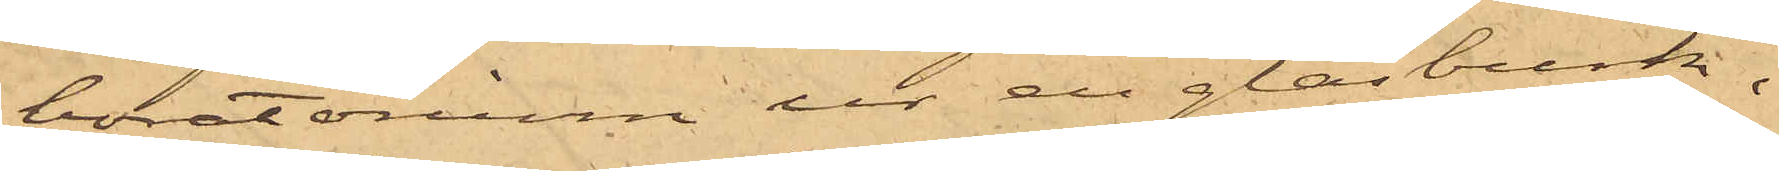boratorium ur en glasburk,
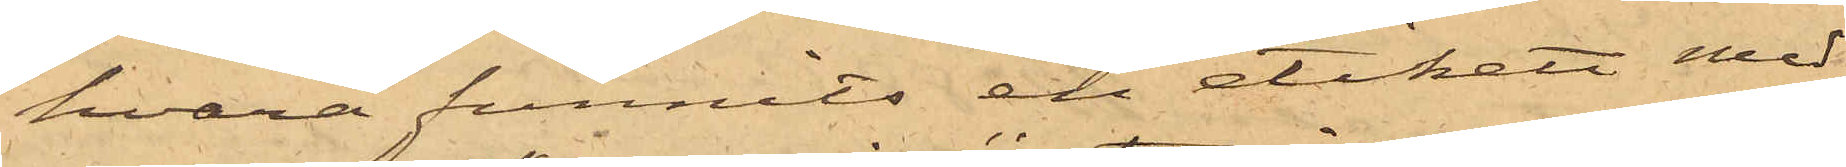hvarå funnits en etikett med
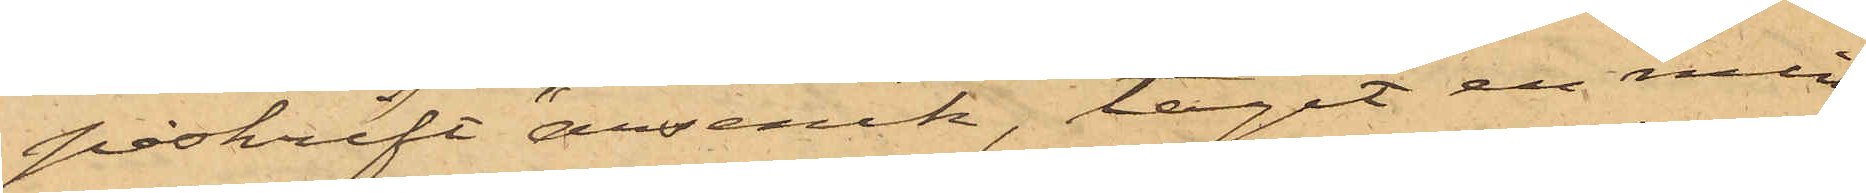påskrift "arsenik", tagit en min¬
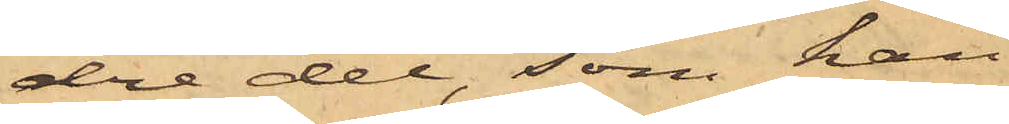dre del, som han
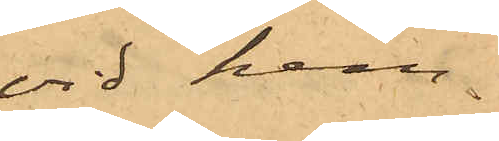vid hem¬
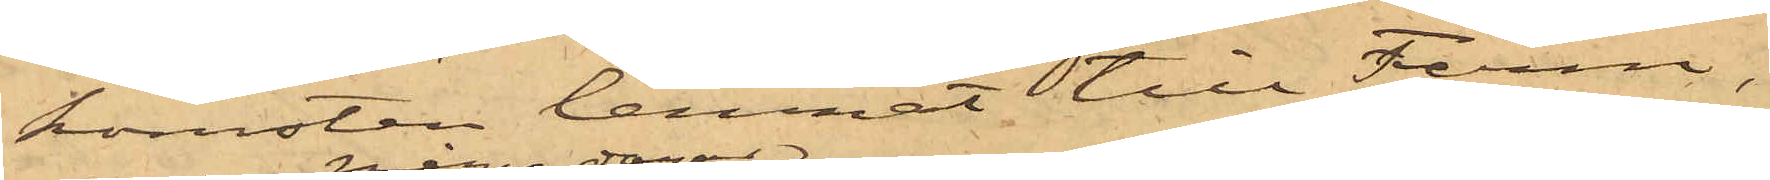komsten lemnat till Ferm,
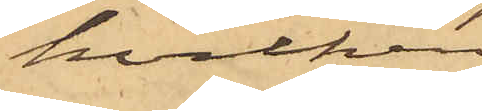hvilken
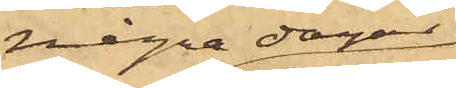några dagar
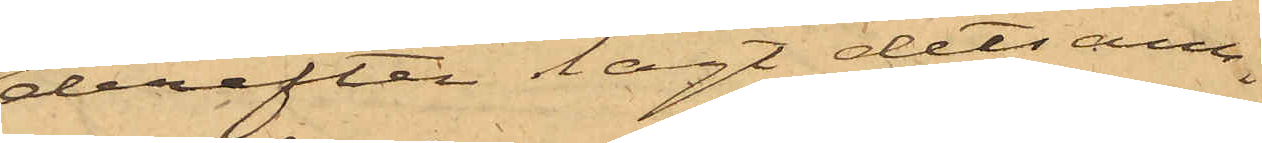derefter lagt detsam¬
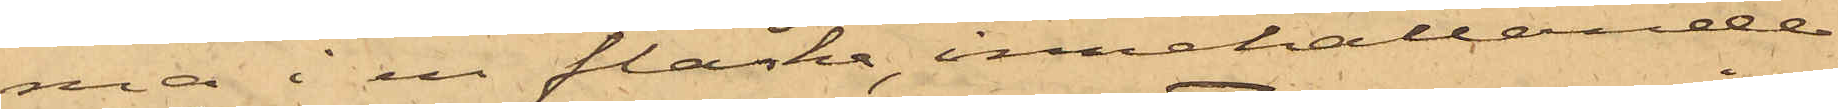ma i en flaska, innehållande
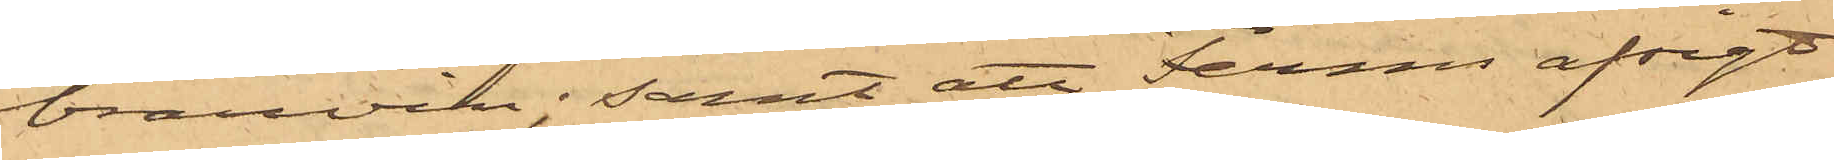brännvin; samt att Ferms afsigt
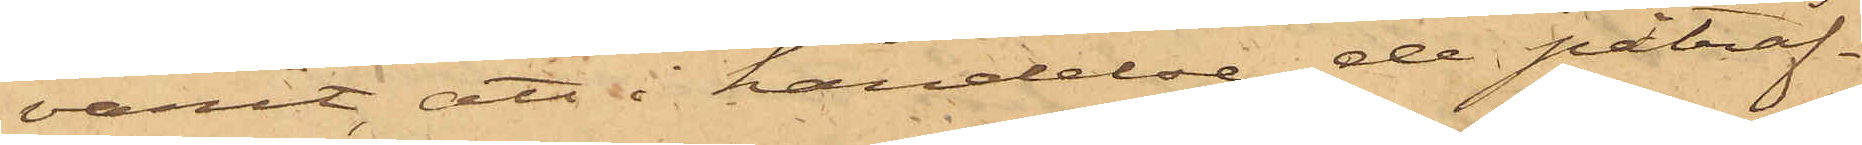varit, att i händelse de påträf¬
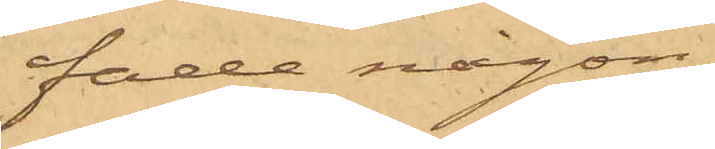fade någon,
